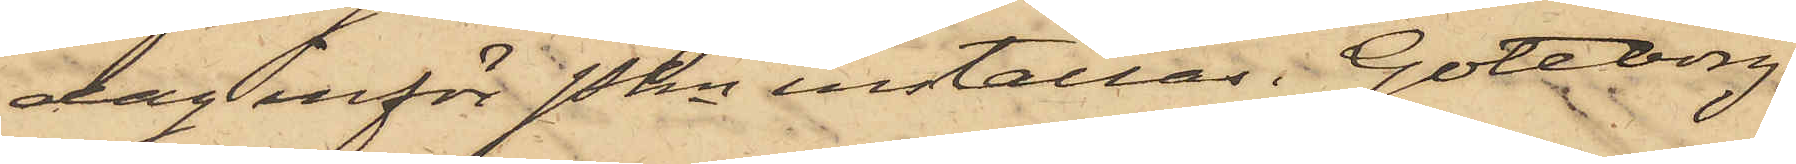dag inför Pkn inställas. Göteborg
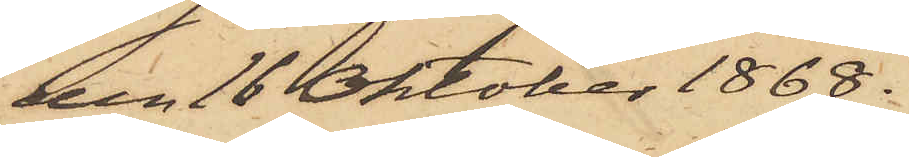den 16 Oktober 1868.
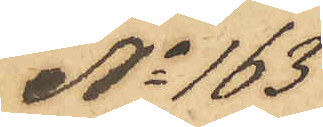No 163
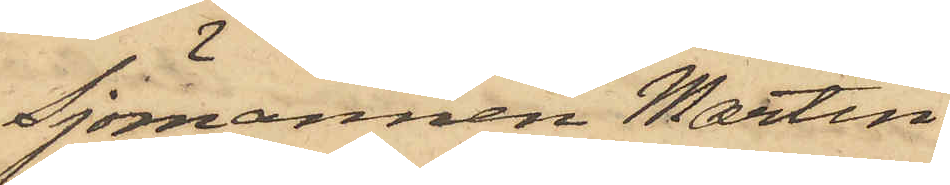Sjömannen Martin
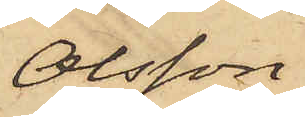Olsson
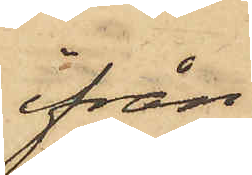ifrån
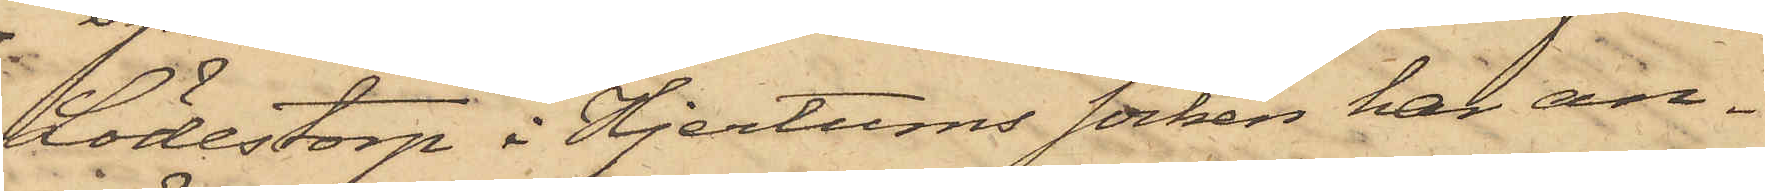Lödestorp i Hjertums socken har an¬
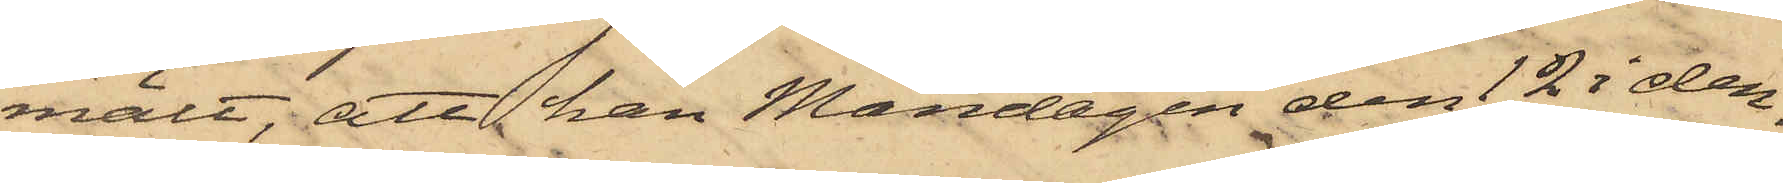mält, att han Måndagen den 12 i den¬
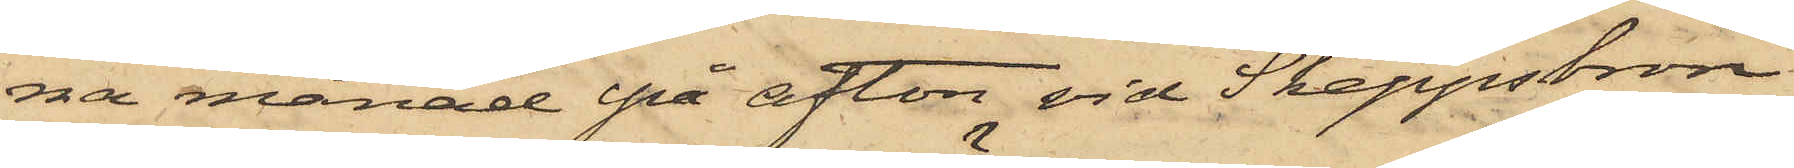na månad på afton vid Skeppsbron
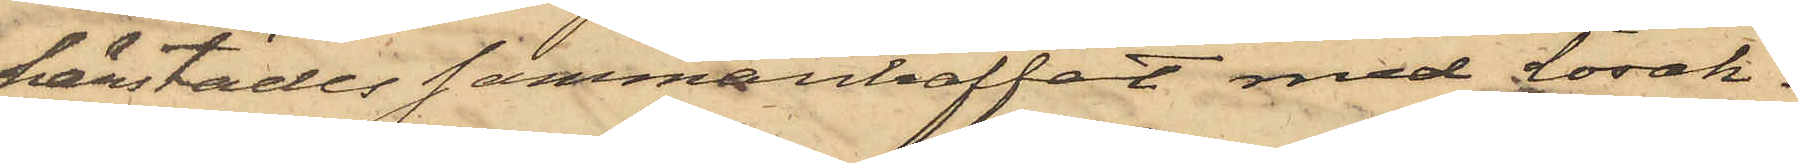härstädes sammanträffat med Lösak¬
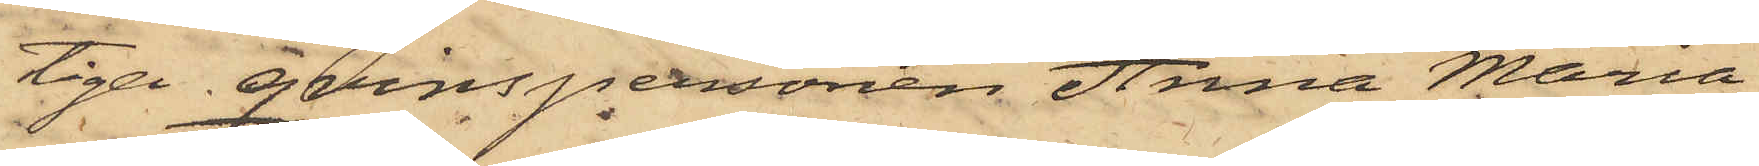tiga qvinspersonen Anna Maria
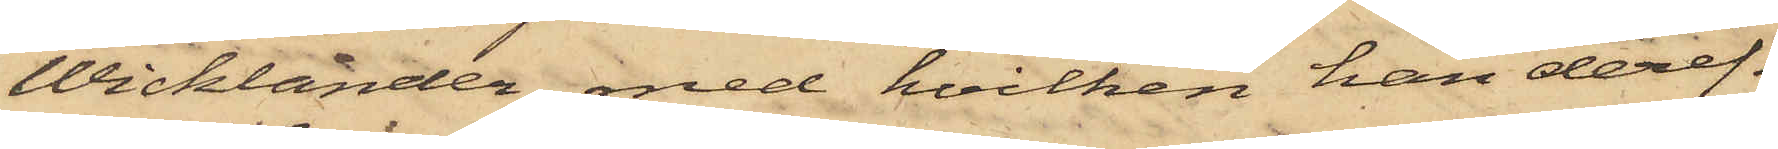Wicklander med hvilken han deref¬
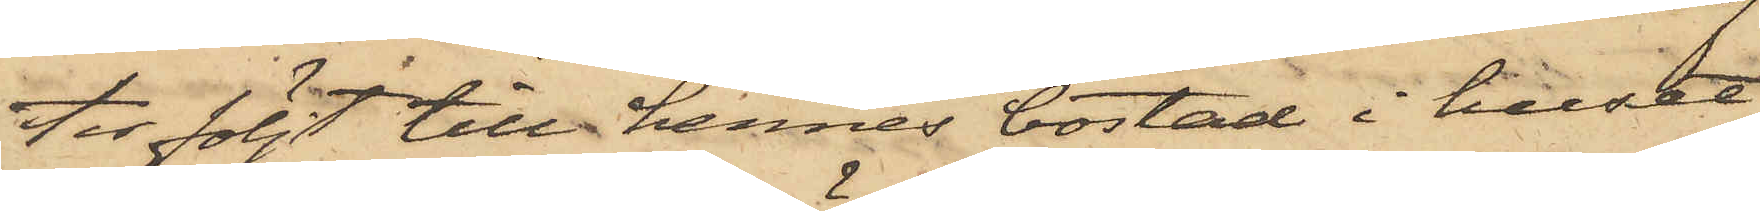fer följt till hennes bostad i huset
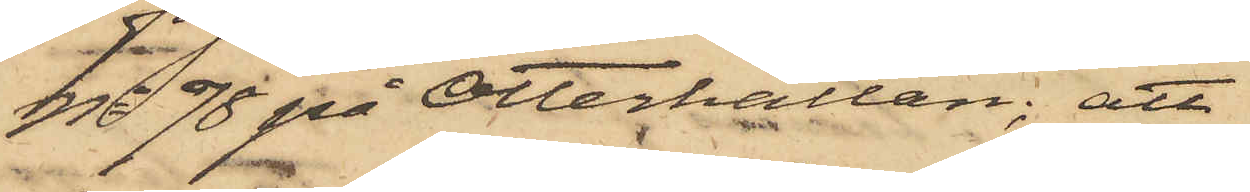No 78 på Otterhällan; att
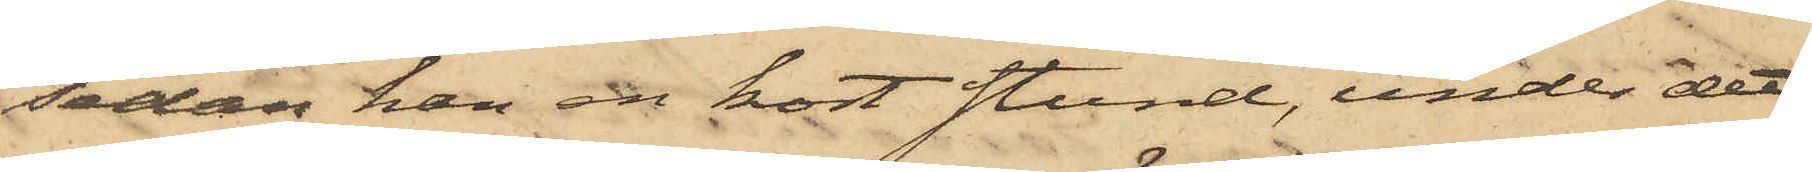sedan han en kort stund, under det
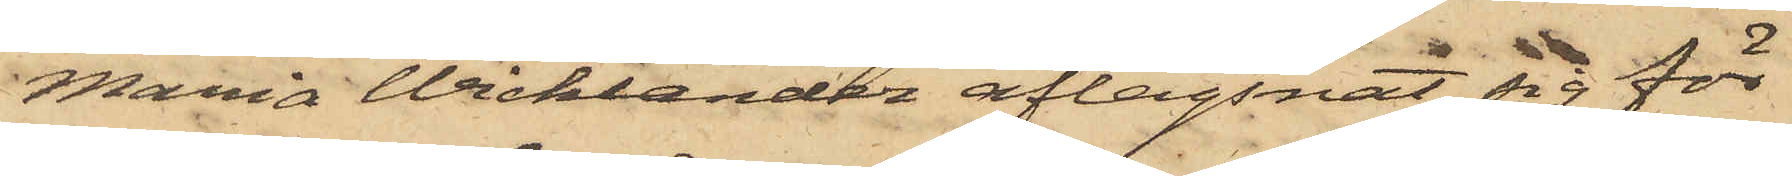Maria Wicklander aflägsnat sig för
